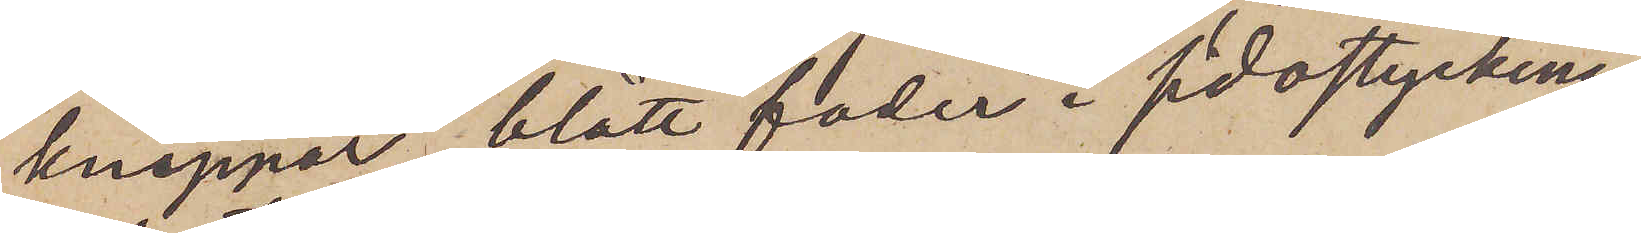knappar, blått foder i sidostyckena
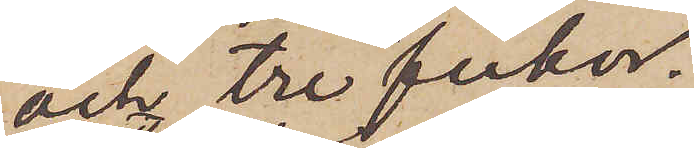och tre fickor.
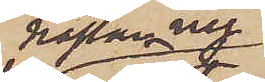nästan ny
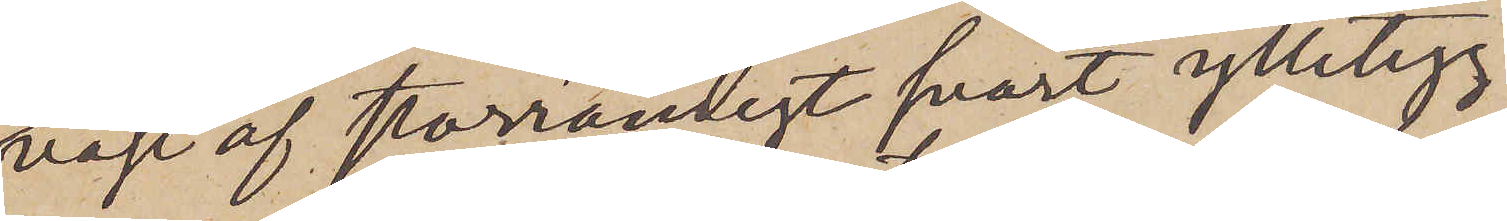väst af storrandigt svart ylletyg,
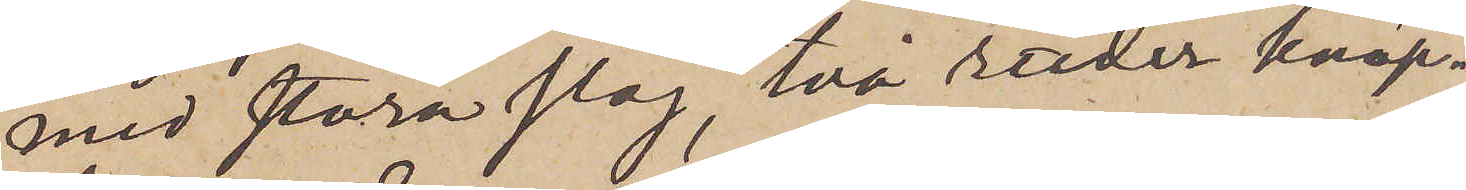med stora slag, två rader knap¬
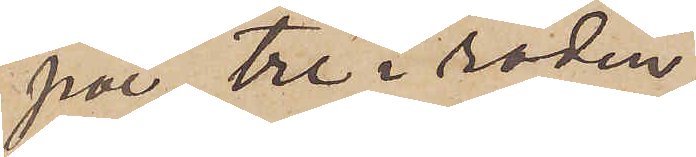par, tre i raden,
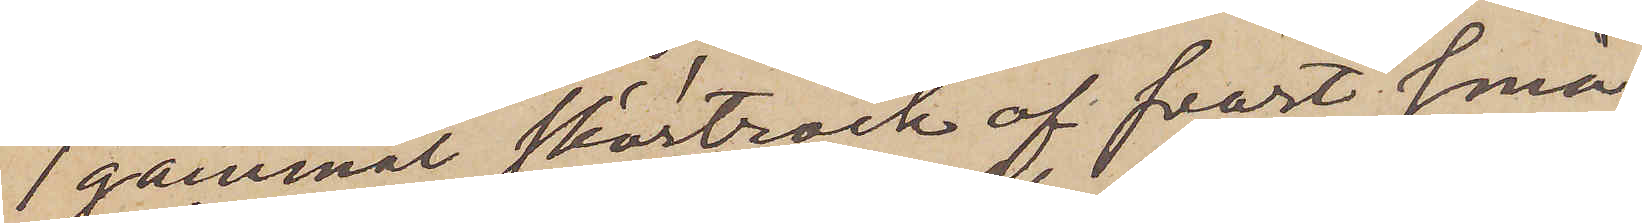1 gammal skörtrock af svart små¬
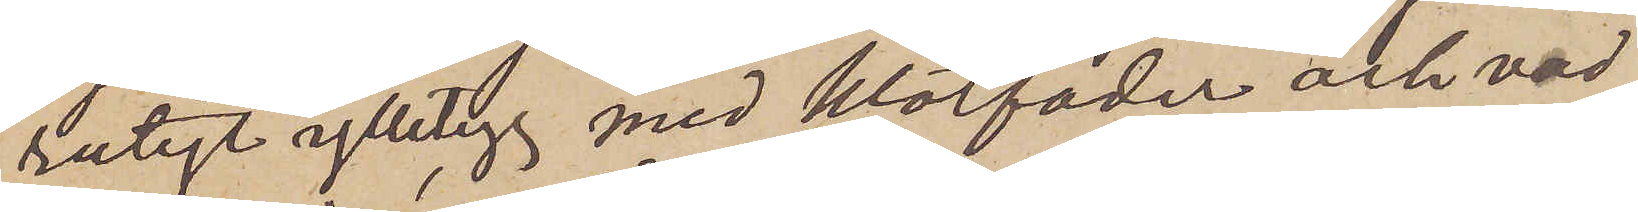rutigt ylletyg med klotfoder och vad¬
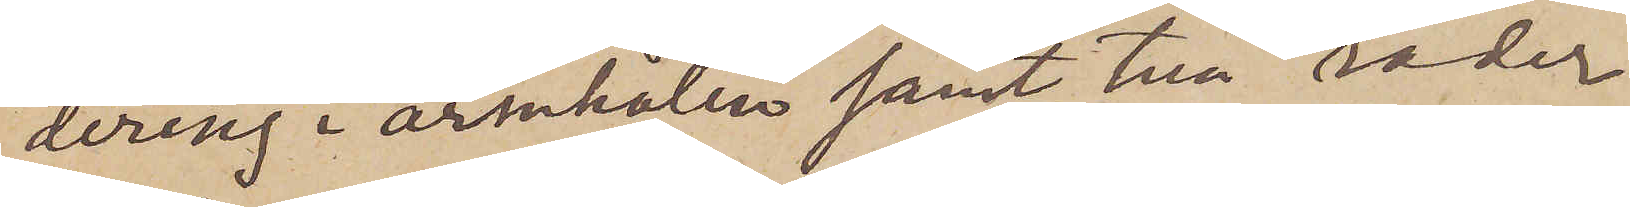dering i ärmhålen samt två rader
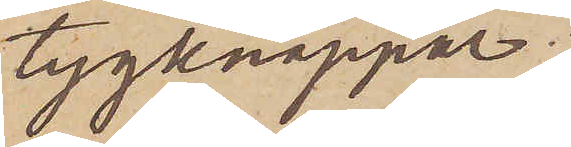tygknappar;
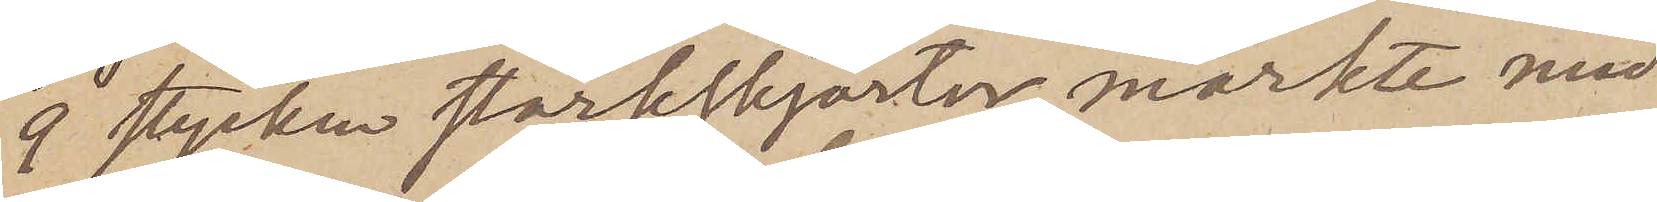9 stycken stärkskjortor, märkte med
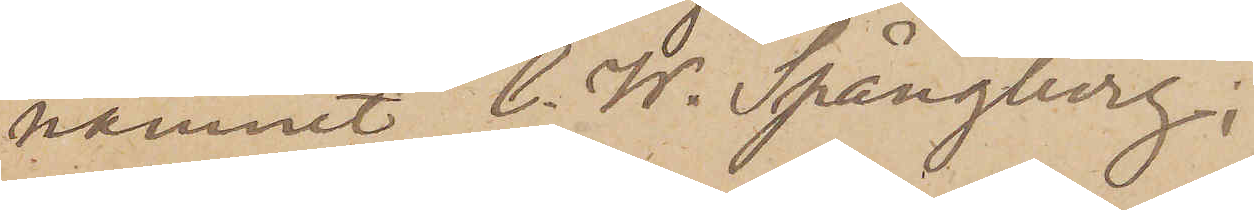namnet C. W. Spångberg.
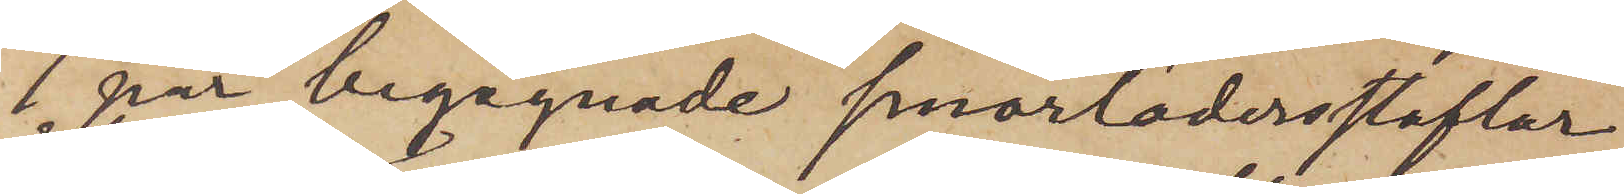1 par begagnade smorlädersstöflar
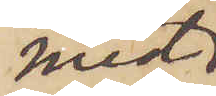med
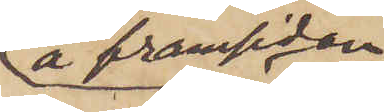å framsidan
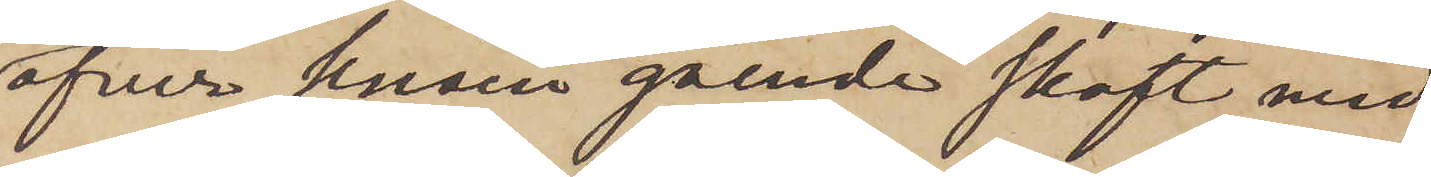öfver knäna gående skaft med
